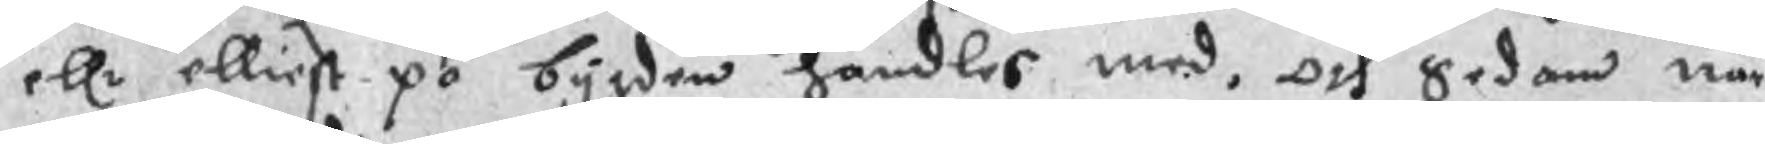ellr elliest på bygden handles med, och Sedan när
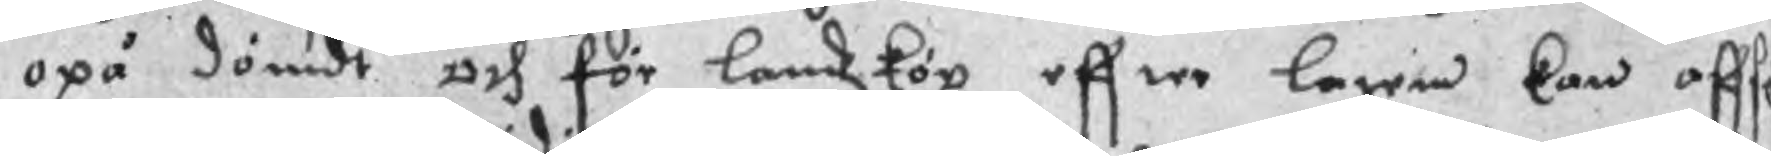opå dömdt och för landzköp effter lagen kan affsä
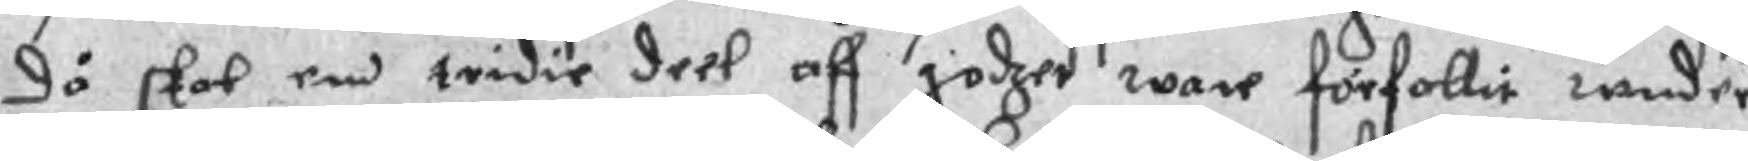då skal enn tridie deel aff godzet ware förfallit wnder
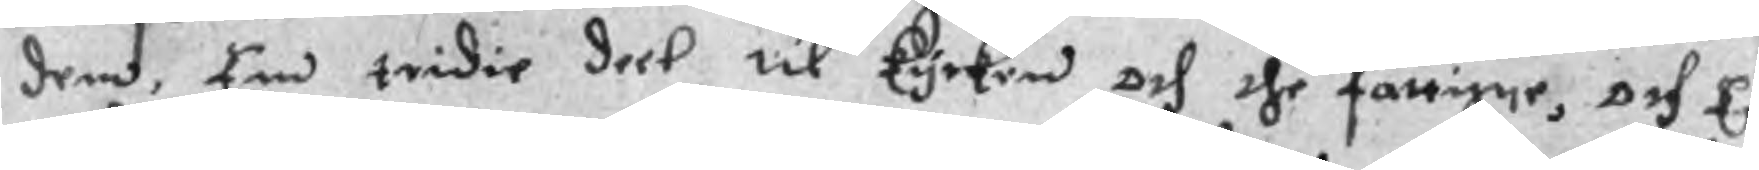dem, Ebn tridie deel til kyrken och the fattige, och En
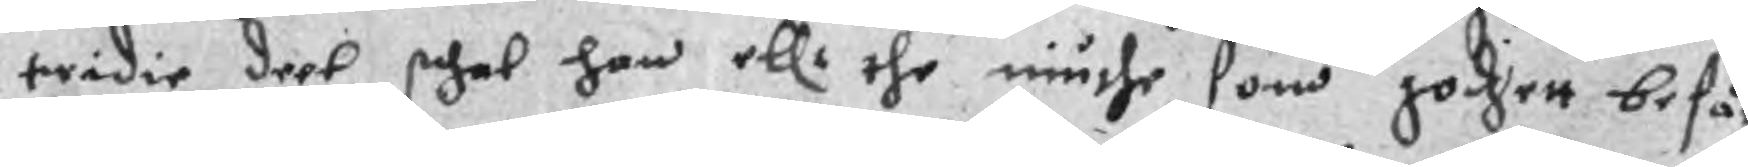tridie deel schal han ellr the niuthe som godzett besåc
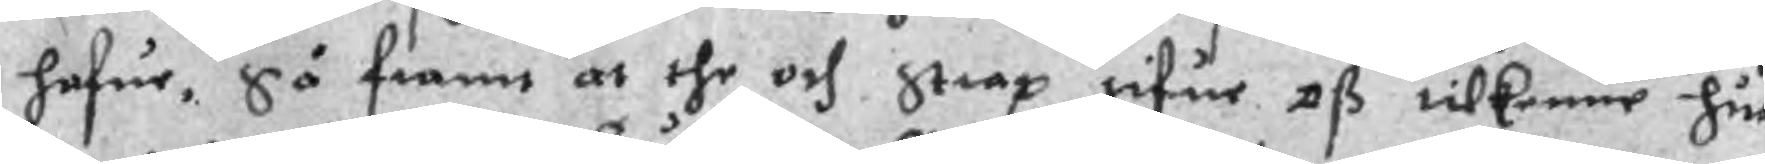hafue, Så framt at the och Strax gifue oß tilkenne hur
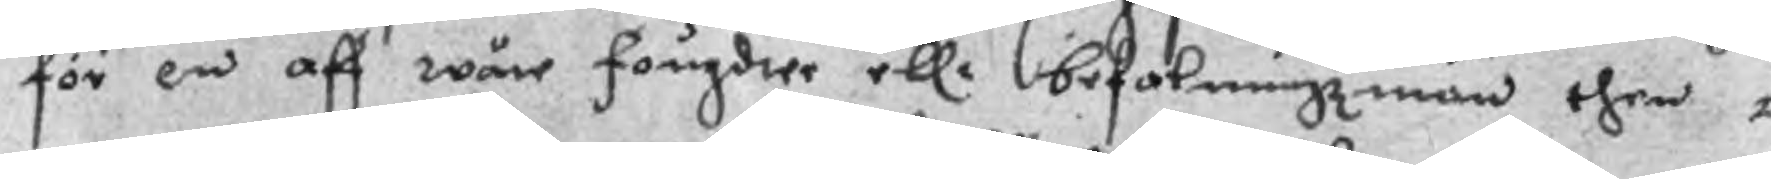för en aff wåre fougder ellr befalningzmän then o
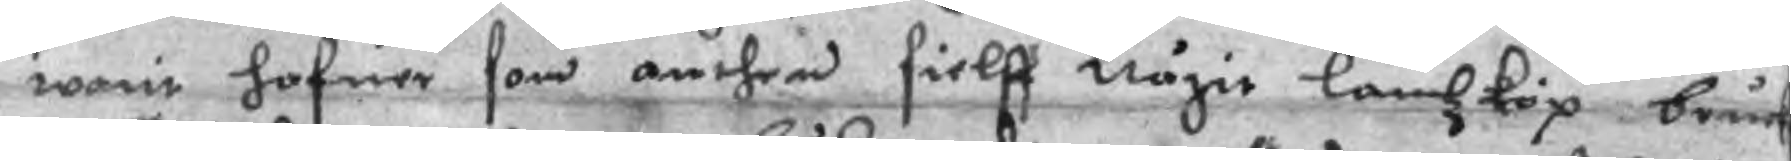warit hafuer som anthen sielff någit landzköp bruc
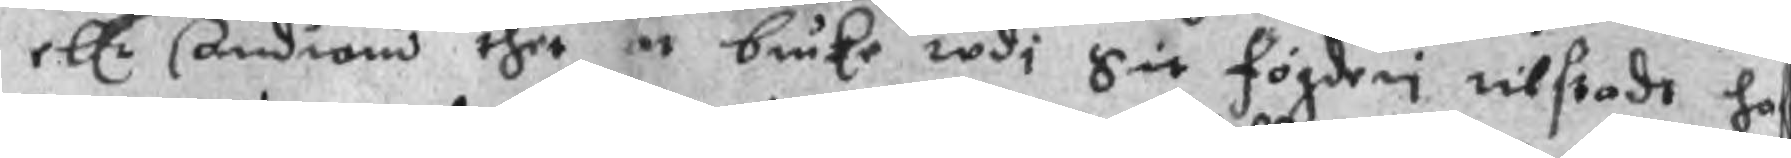ellr Androm thet at bruke wdi Sit fögderi tilstade haf
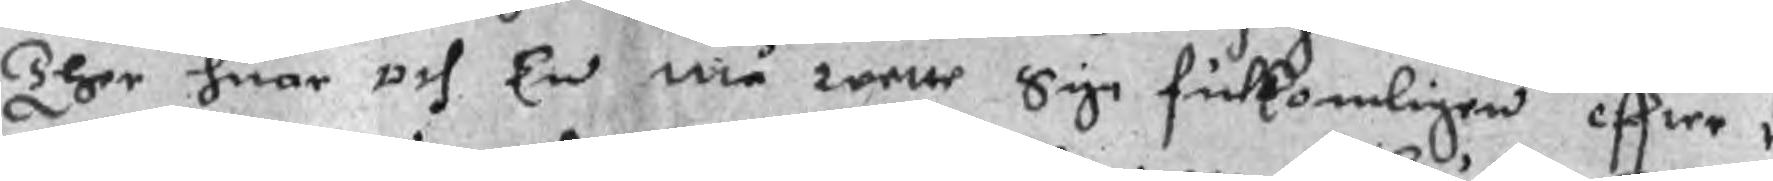Ther huar och En må rette Sige fulomligen effter 
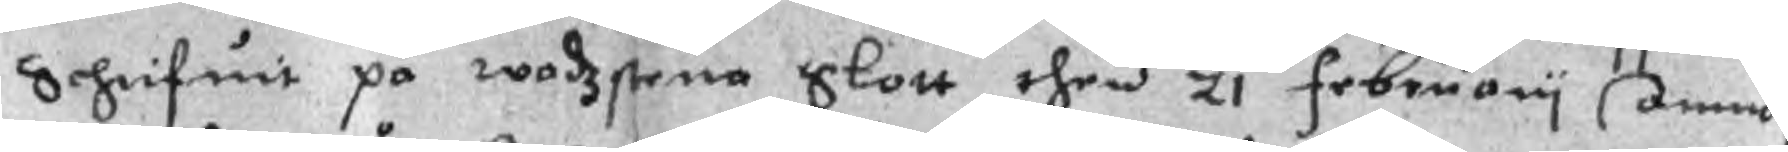Schrifuit på wadzstena Slott then 21 February Anno
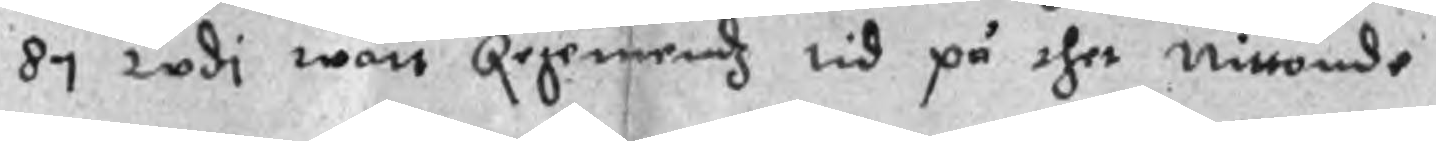87 wdi wårt Regemendz tid på thet nittonde
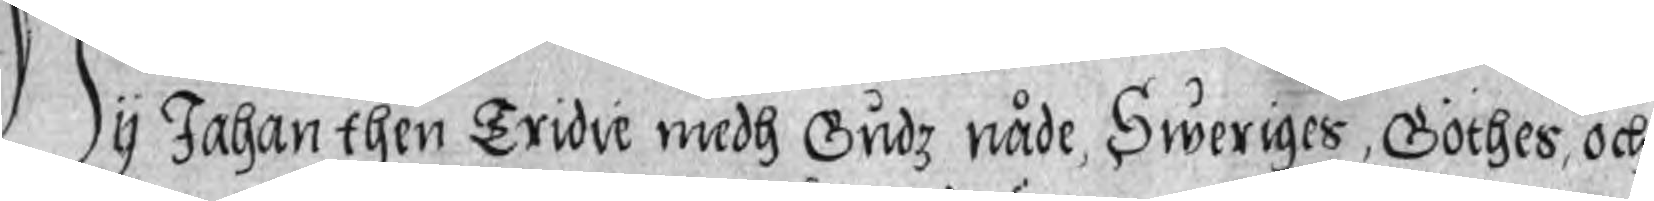Wy Johan then Tridie medh Gudz nåde, Sweriges, Göthes, och
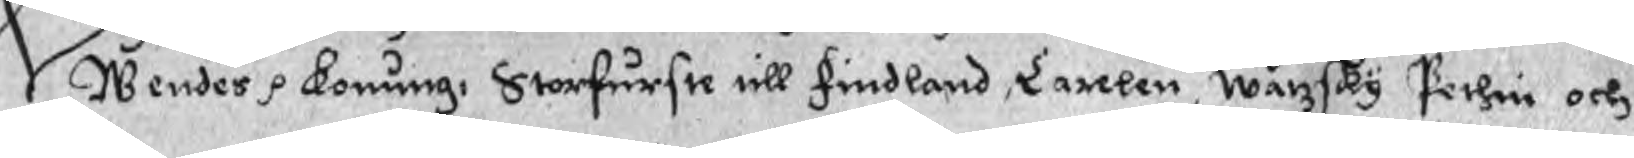Wendes p Konung: Storfurste till Findland, Carelen, Wärzsky Pethin och
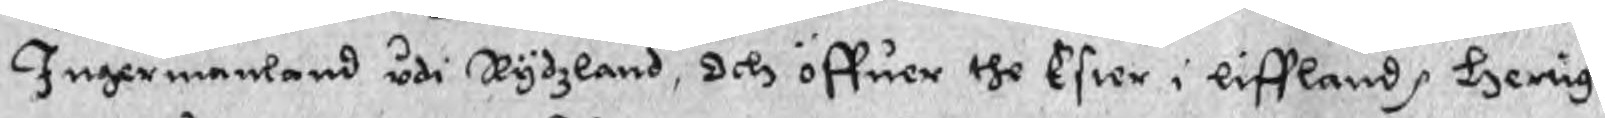Ingermanland uti Rydzland, Och öffuer the Ester i liffland p Hertig.
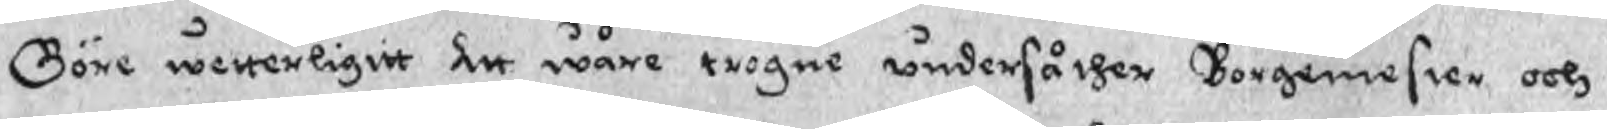Göre wetterligit att wåre trogne undersåther Borgemester och
